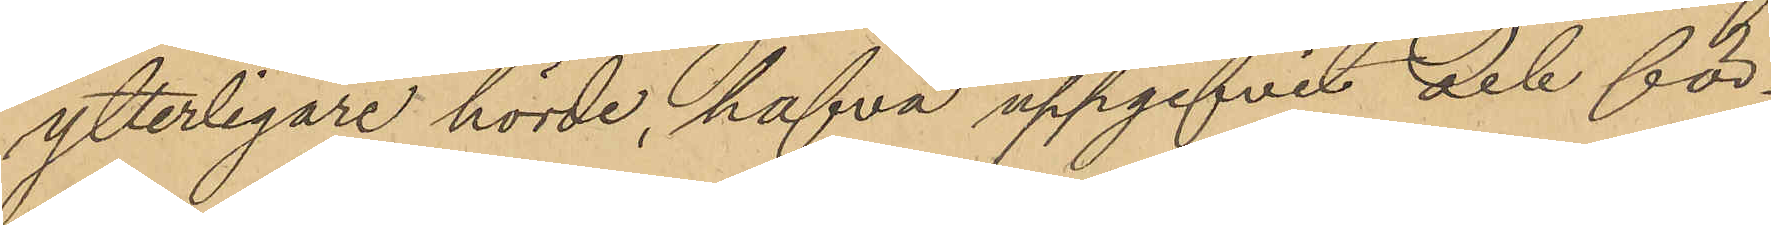ytterligare hörde, hafva uppgifvit och för¬
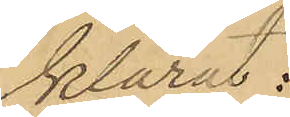klarat:
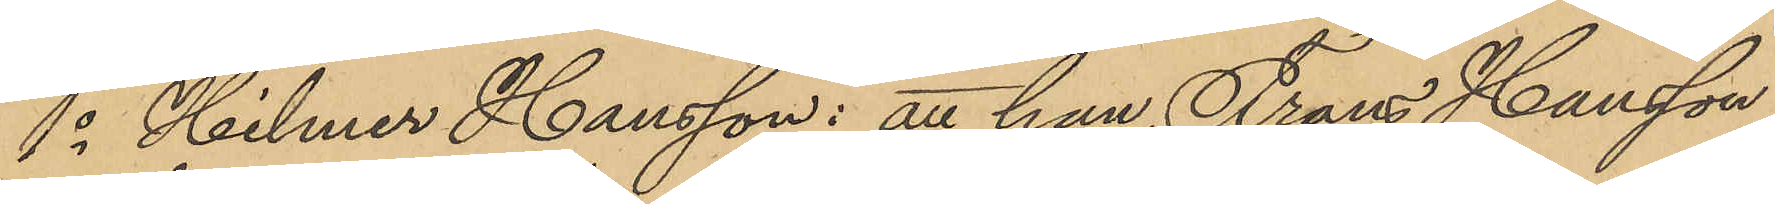1o Hilmer Hansson: att han, Frans Hansson
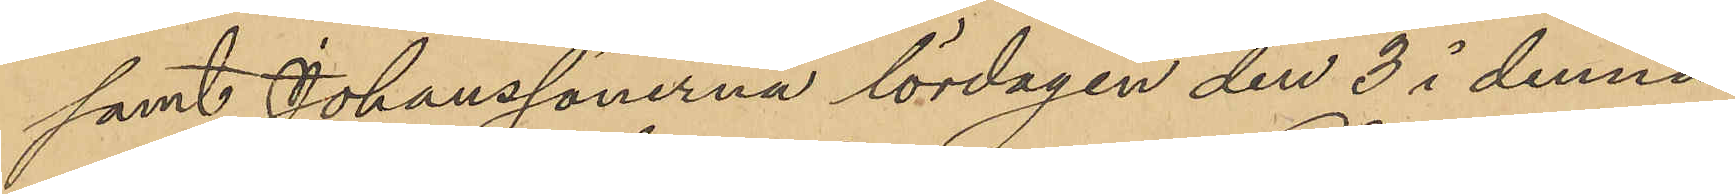samt Johanssönerna lördagen den 3 i denna
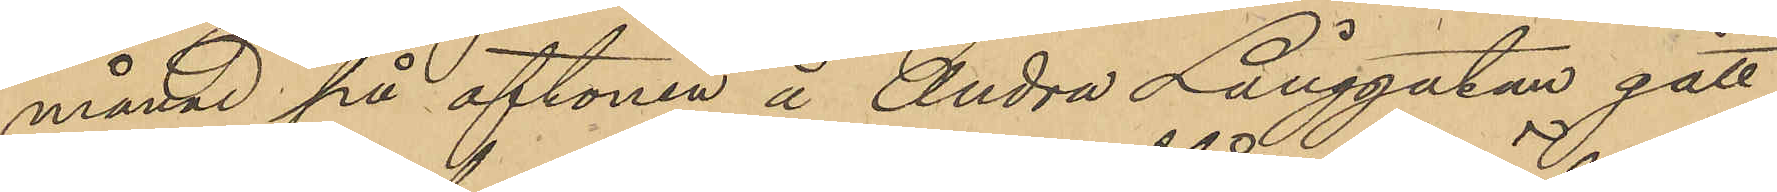månad på aftonen å Andra Långgatan gått
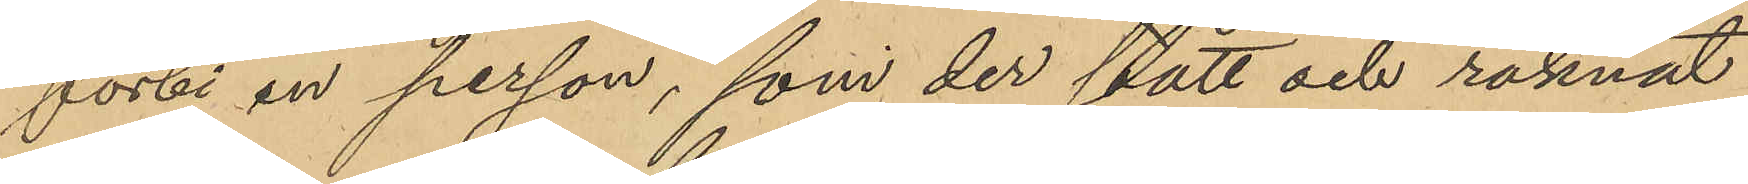förbi en person, som der stått och räknat
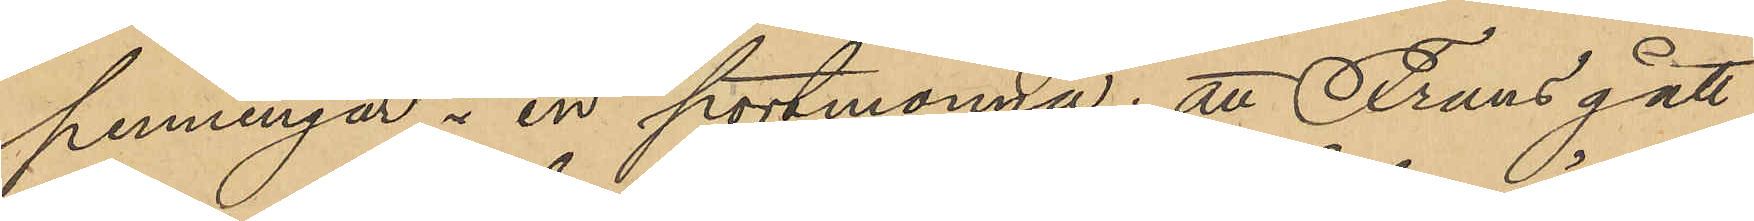penningar i en portmonnä; att Frans gått
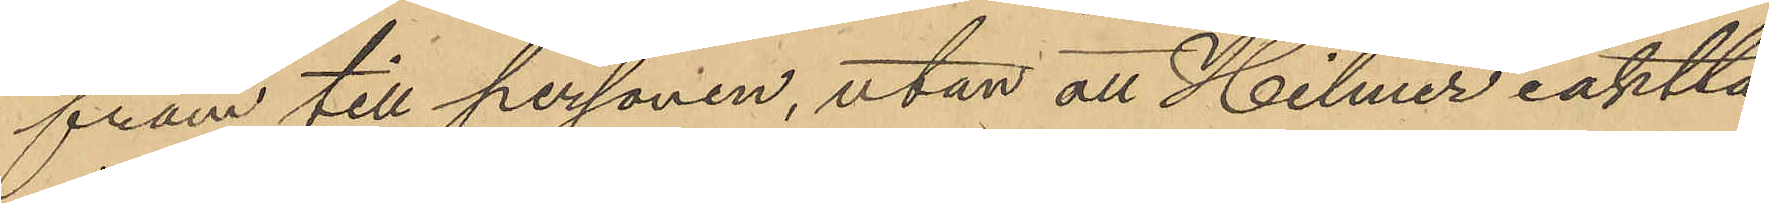fram till personen, utan att Hilmer iaktta¬
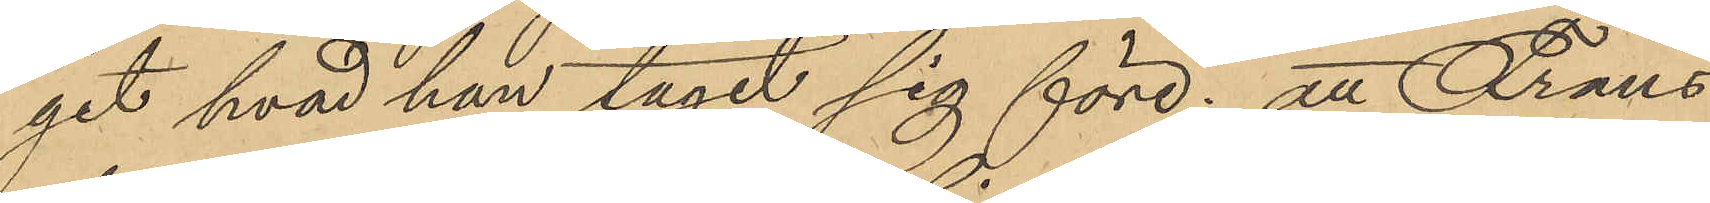git hvad han tagit sig före; att Frans
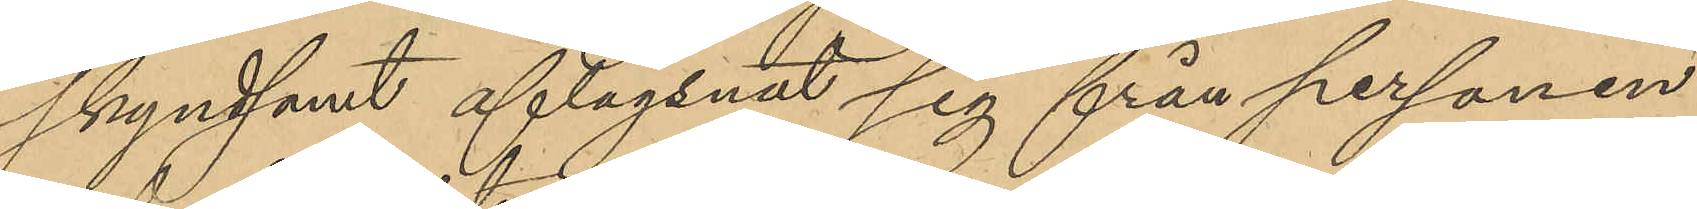skyndsamt aflägsnat sig från personen
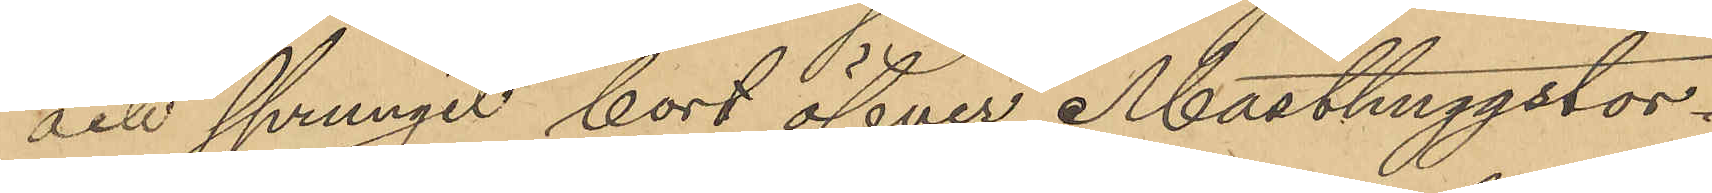och sprungit bort öfver Masthuggstor¬
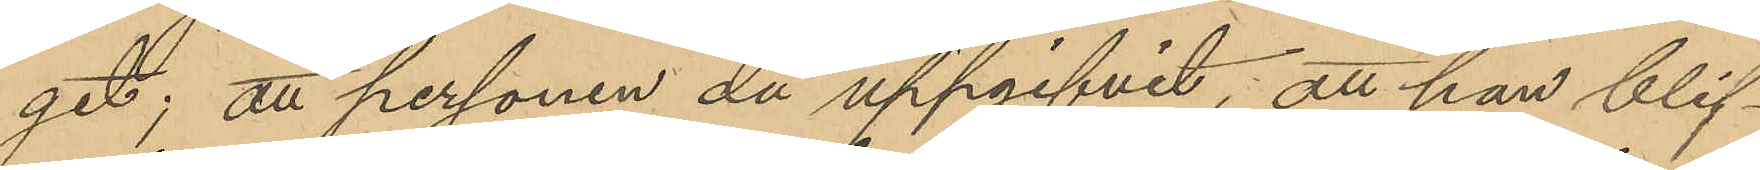get; att personen då uppgifvit, att han blif¬
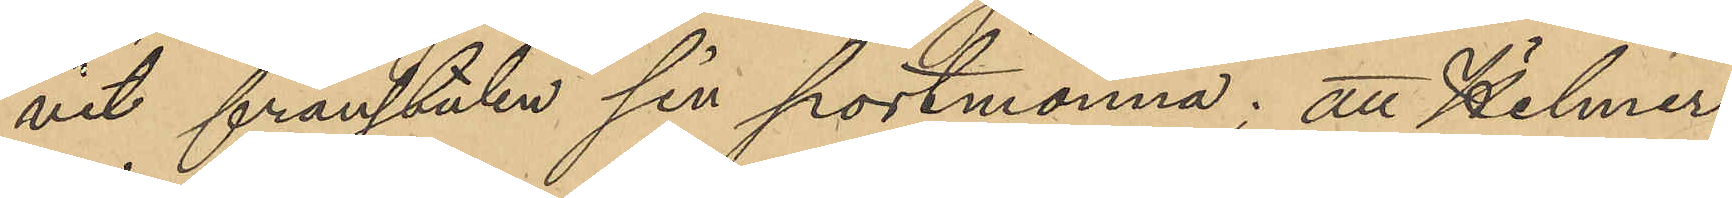vit frånstulen sin portmonnä; att Hilmer
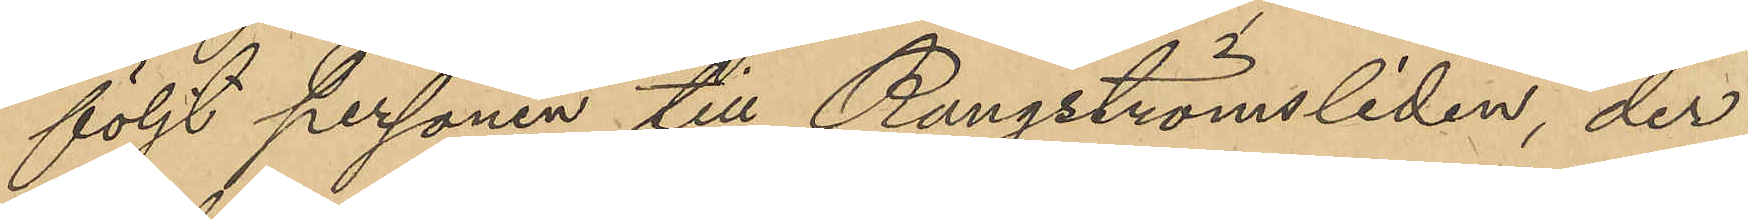följt personen till Rangströmsliden, der
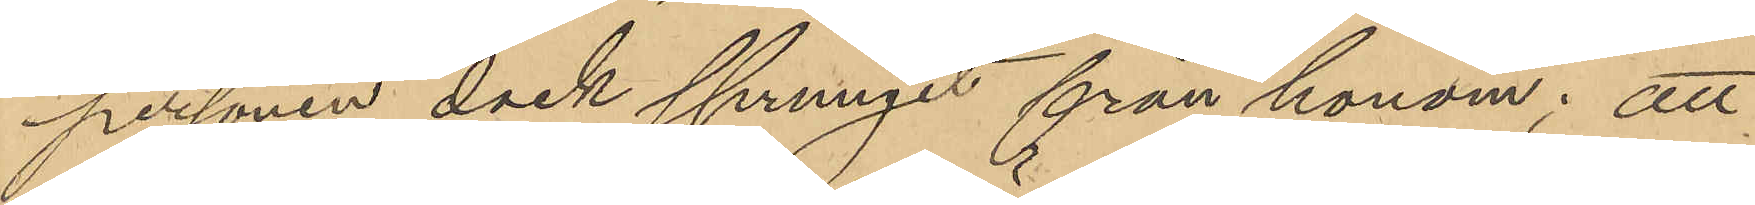personen dock sprungit från honom; att
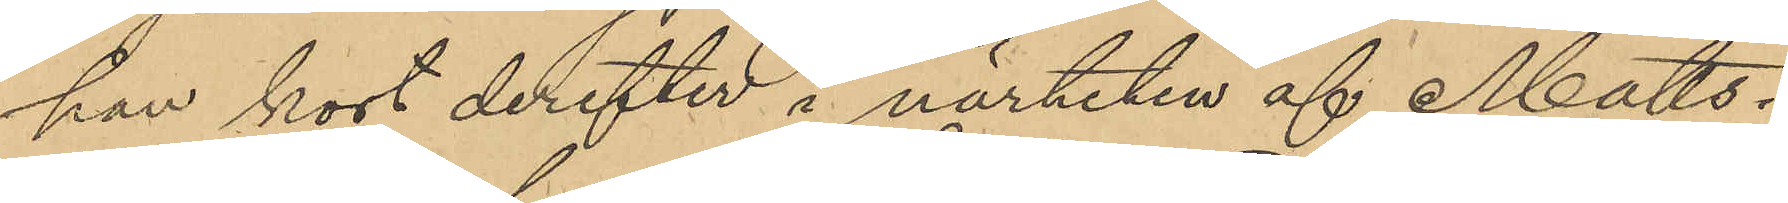han kort derefter i närheten af Matts¬
